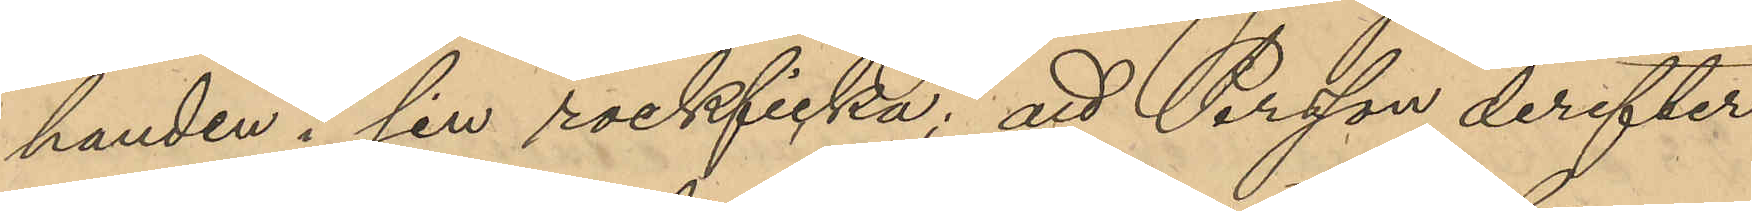handen i sin rockficka; att Persson derefter
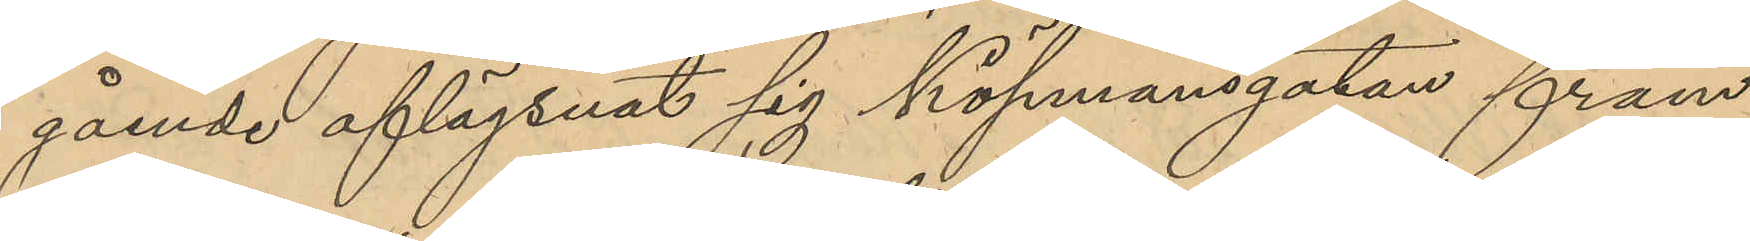gående aflägsnat sig Köpmansgatan fram,
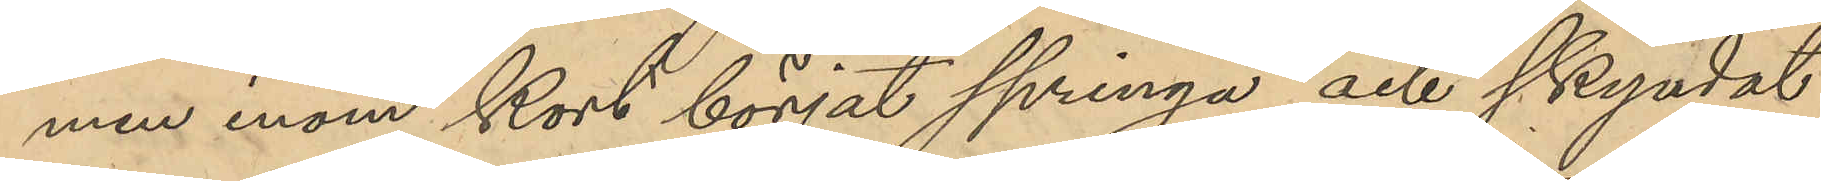men inom kort börjat springa och skyndat
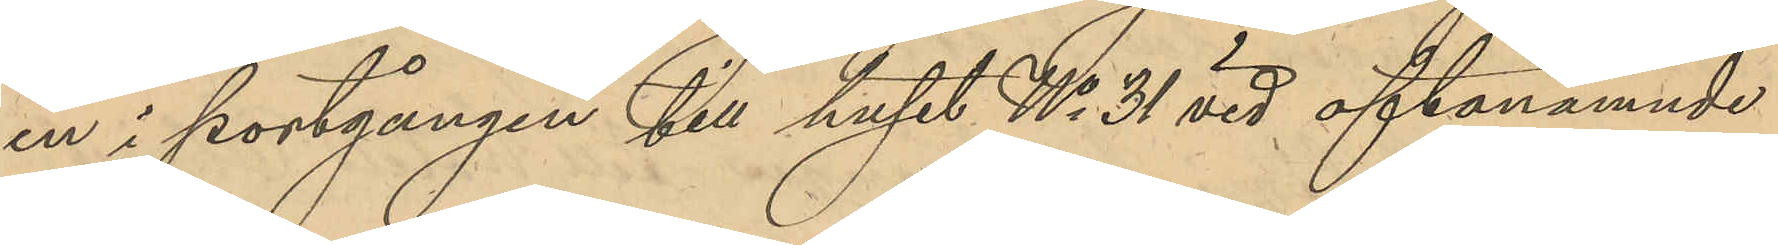in i portgången till huset No 31 vid oftanämnde
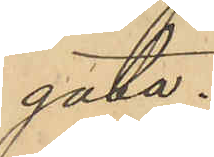gata.
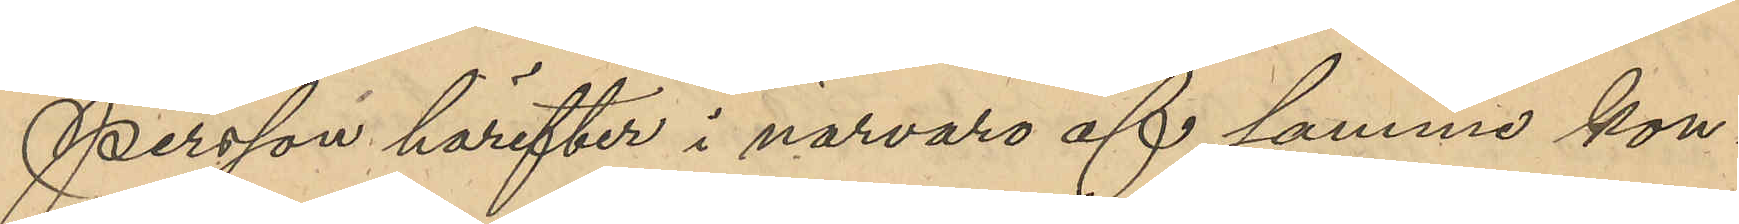Persson härefter i närvaro af samme kon¬
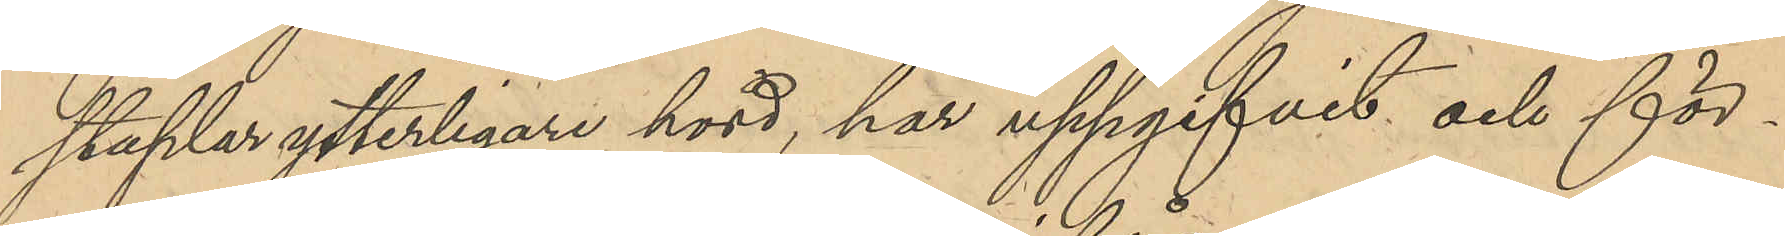staplar ytterligare hörd, har uppgifvit och för¬
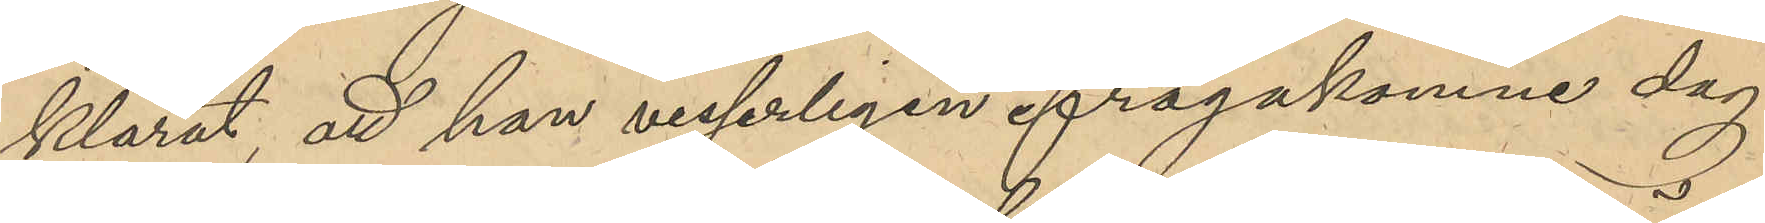klarat; att han visserligen ifrågakomne dag
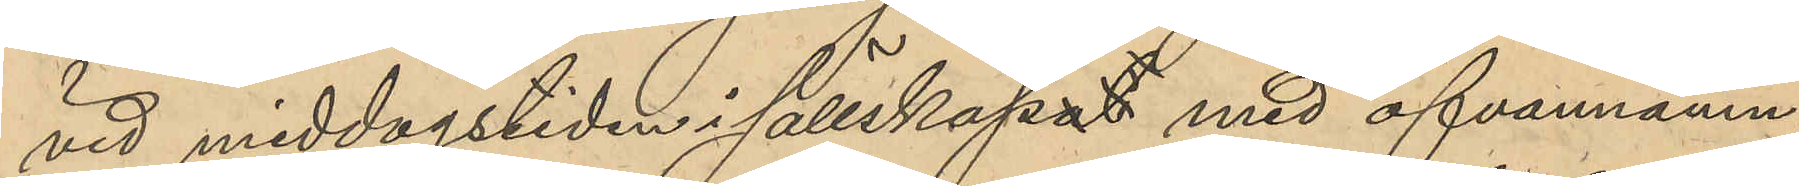vid middagstiden i sällskapat med ofvannämn¬
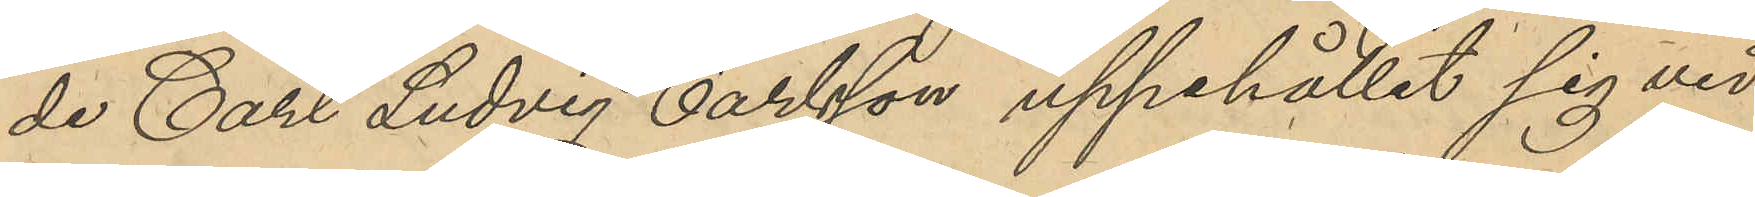de Carl Ludvig Carlsson uppehållit sig vid
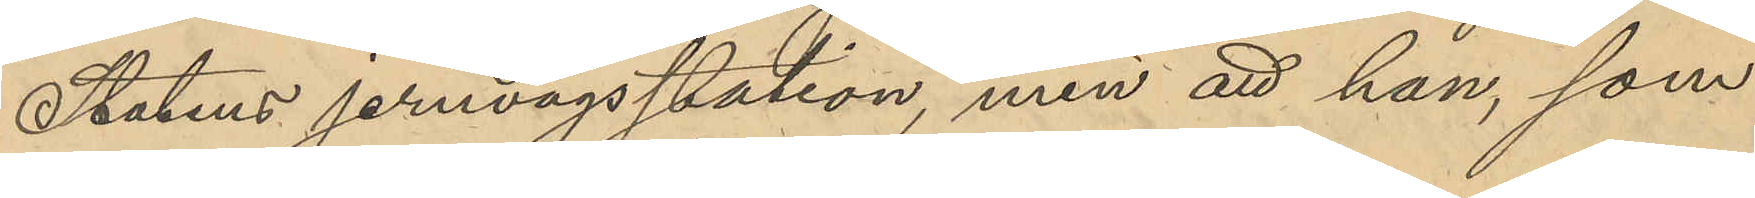Statens jernvägsstation, men att han, som
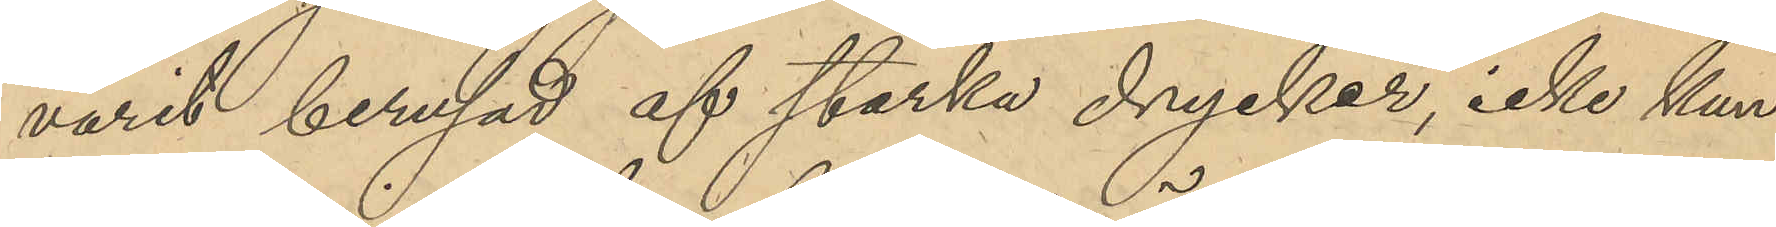varit berusad af starka drycker, icke kun¬
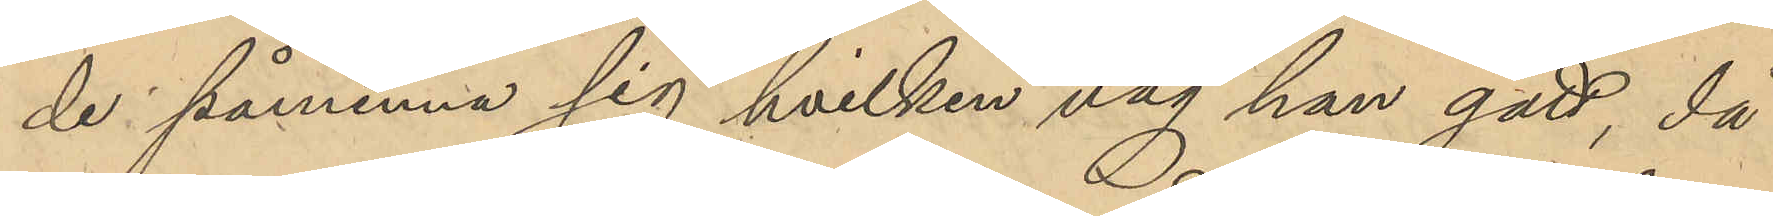de påminna sig hvilken väg han gått, då
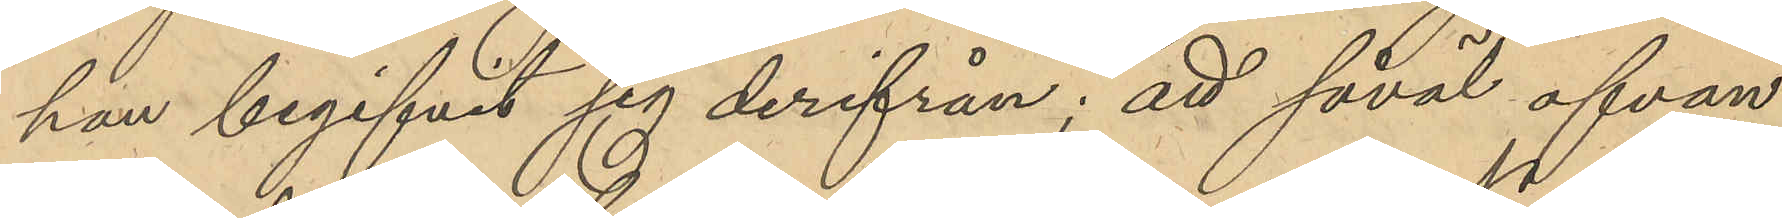han begifvit sig derifrån; att såväl ofvan¬
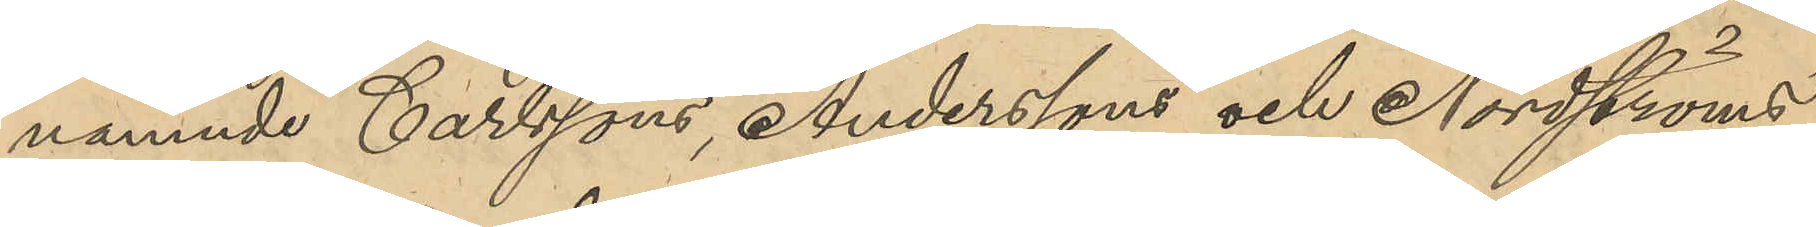namnde Carlssons, Anderssons och Nordströms
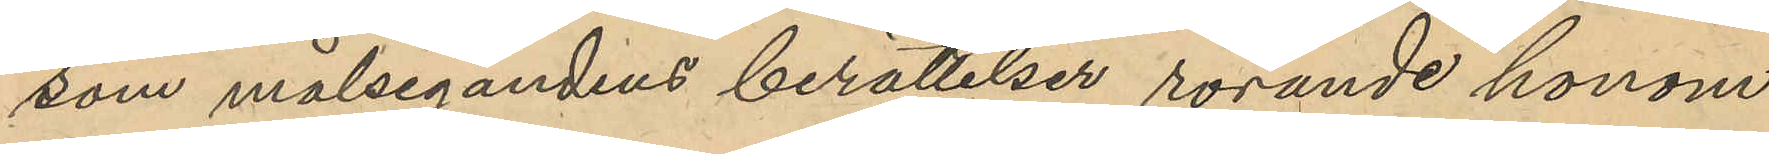som målsegandens berättelser rörande honom
